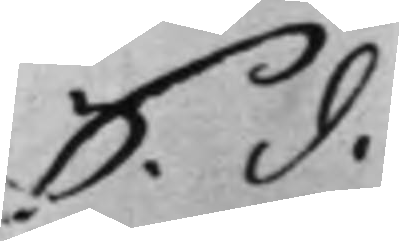S. d.
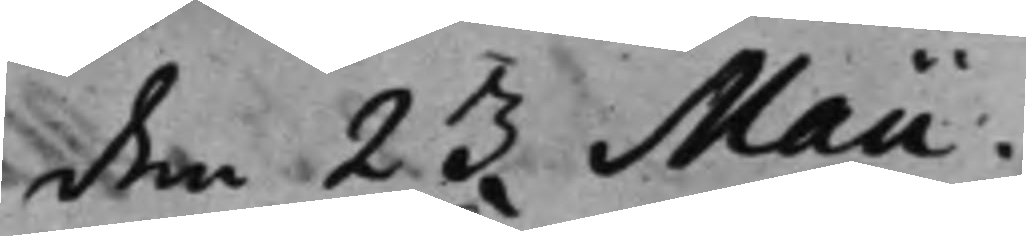den 23 Maii
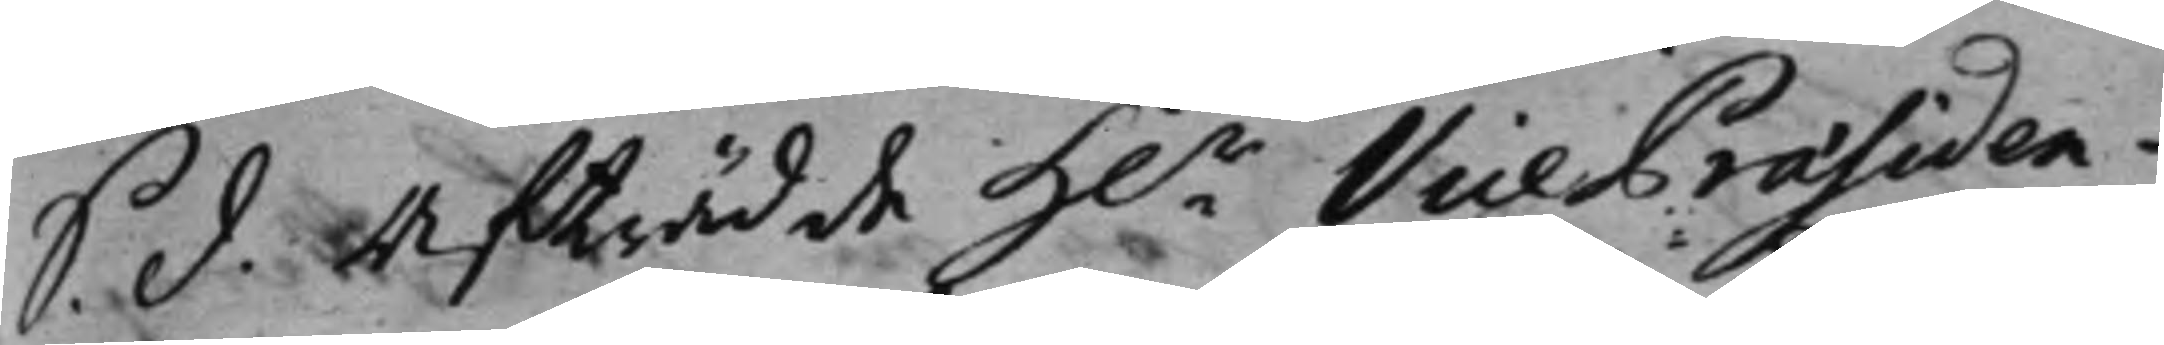S. d. afträdde H.r VicePräsiden¬
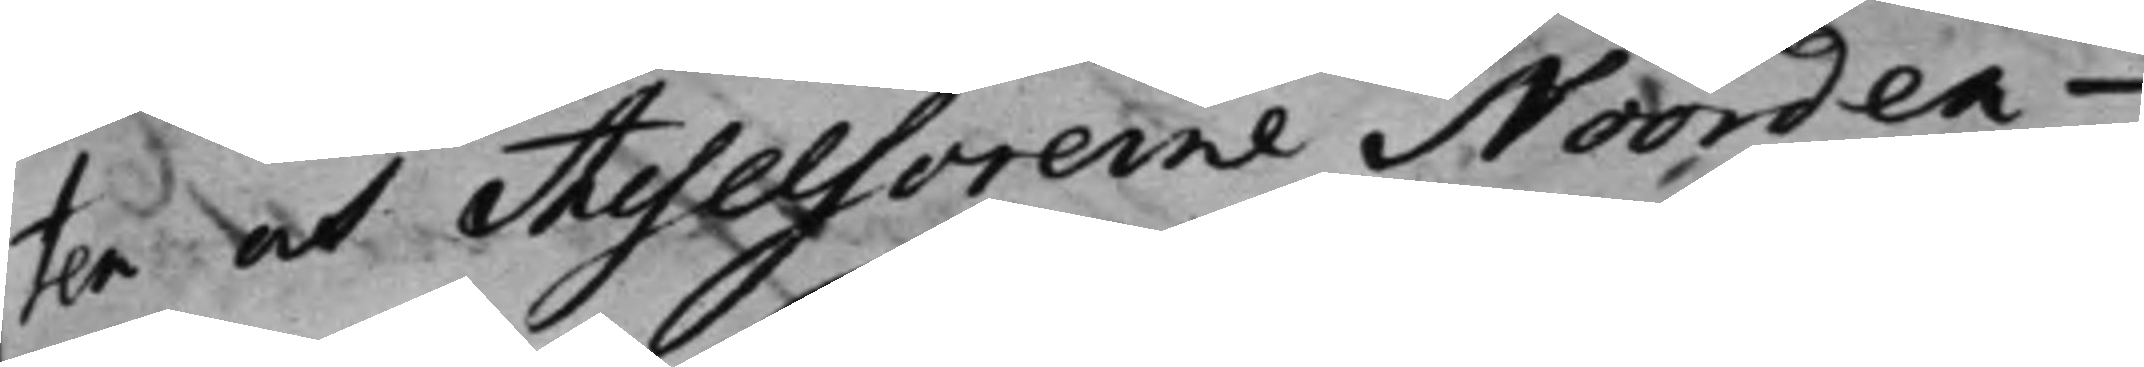ten och Assessorerne Noorden¬
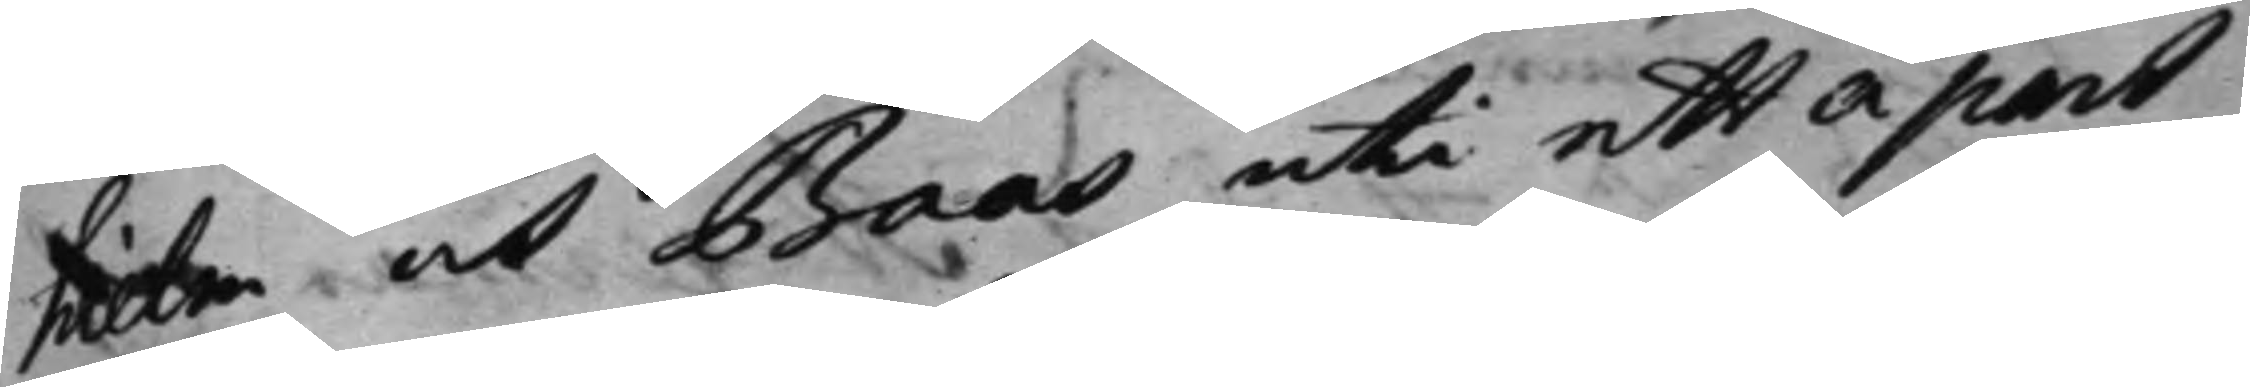hiel,m och Baas uti ett a part
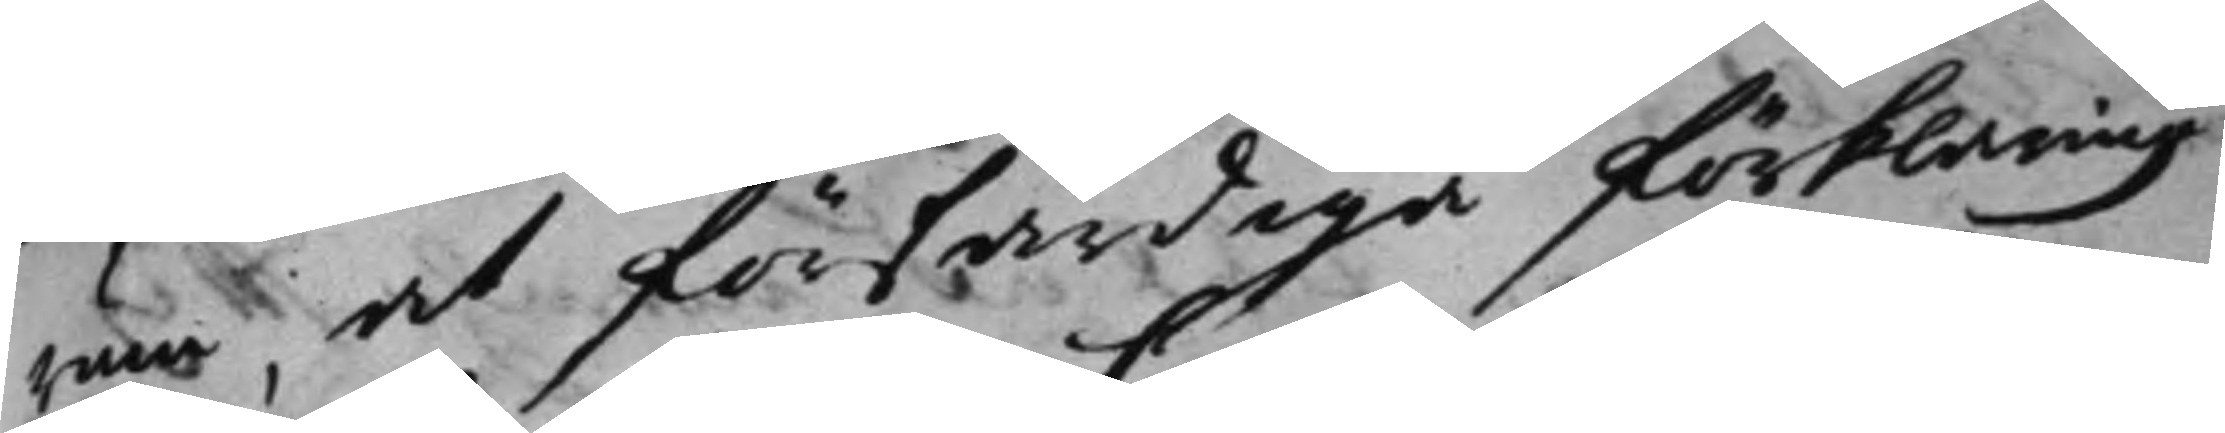rum, at förfärdiga förklaring
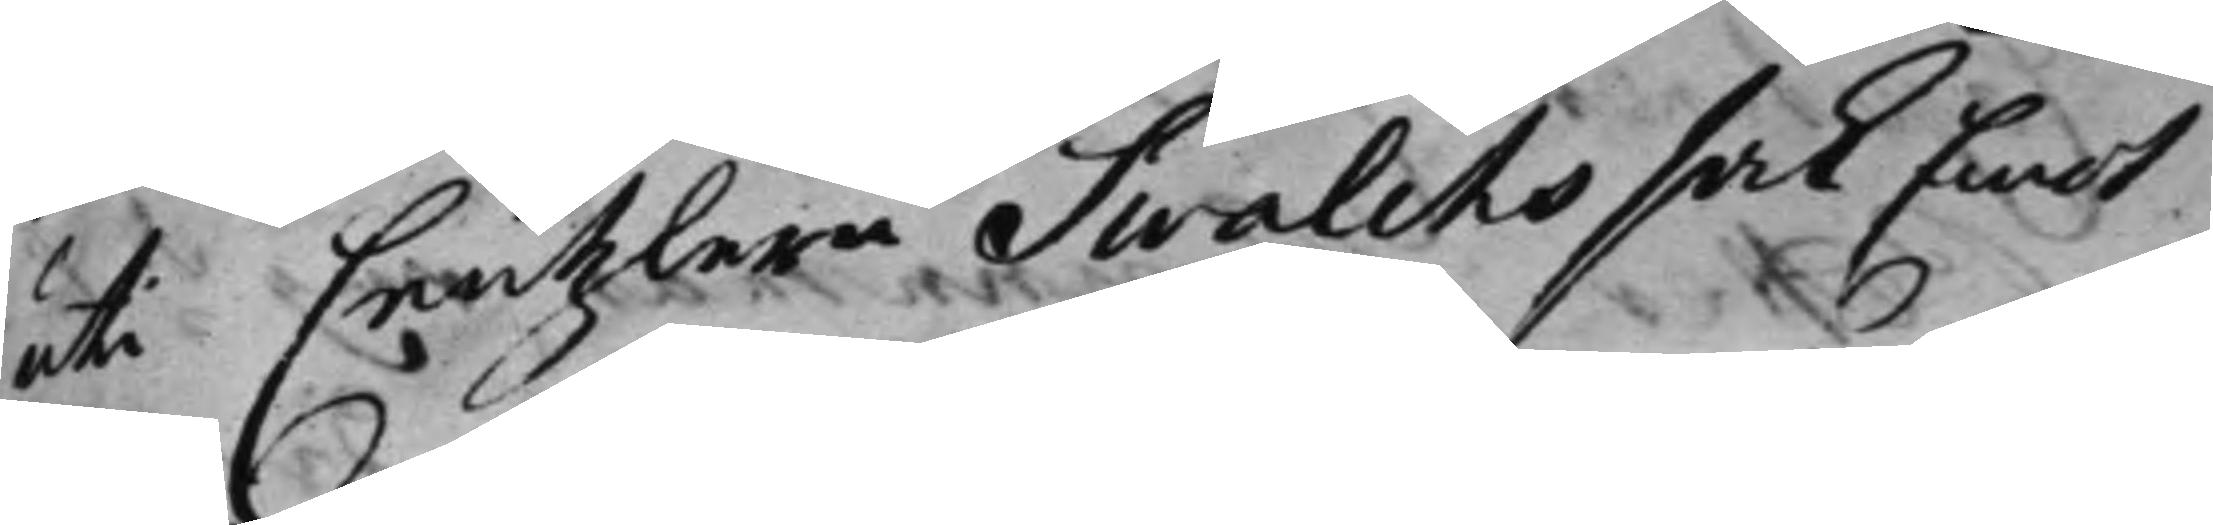uti Cantzlern Swalits sak Emot
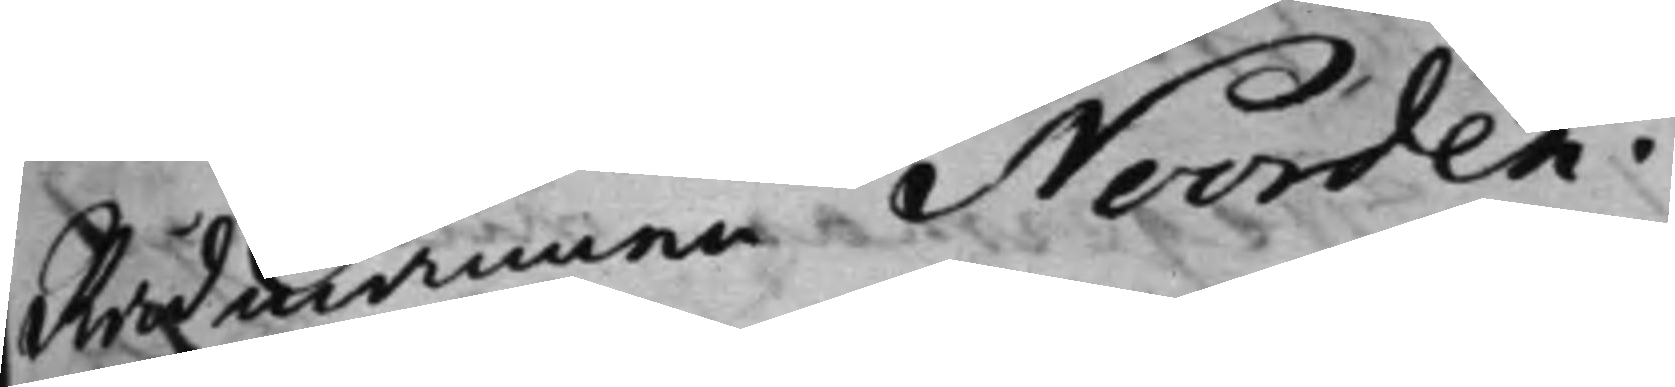Rådmannen Noorden.
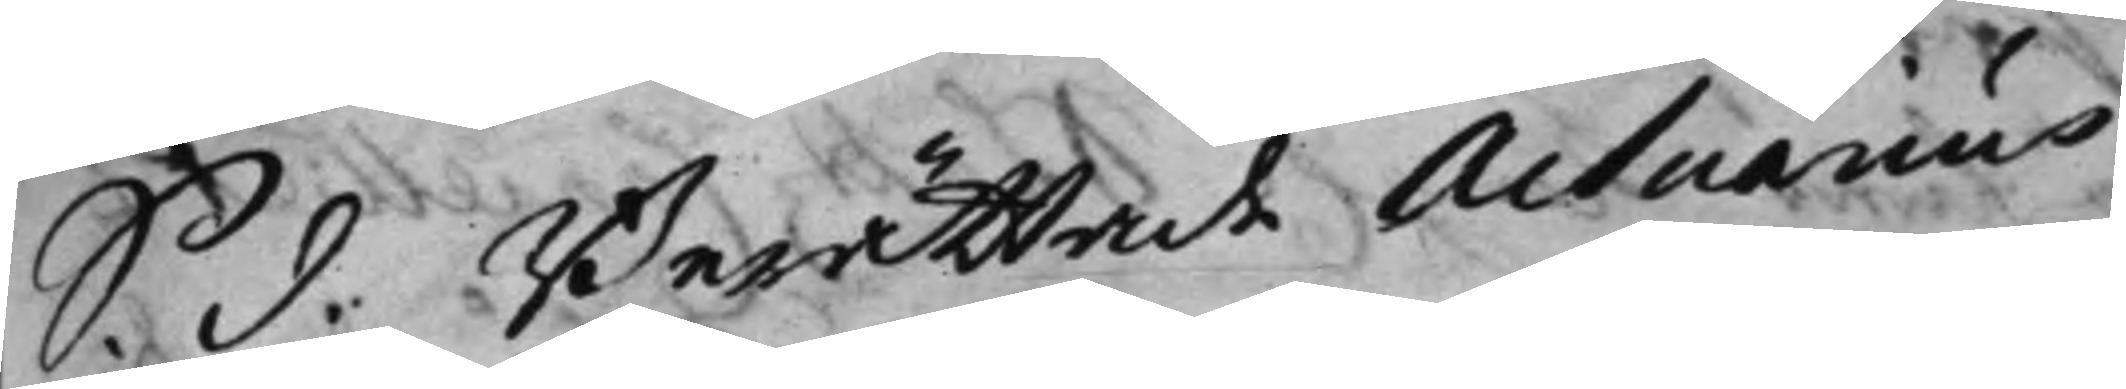S. d. Berättade Actuarius
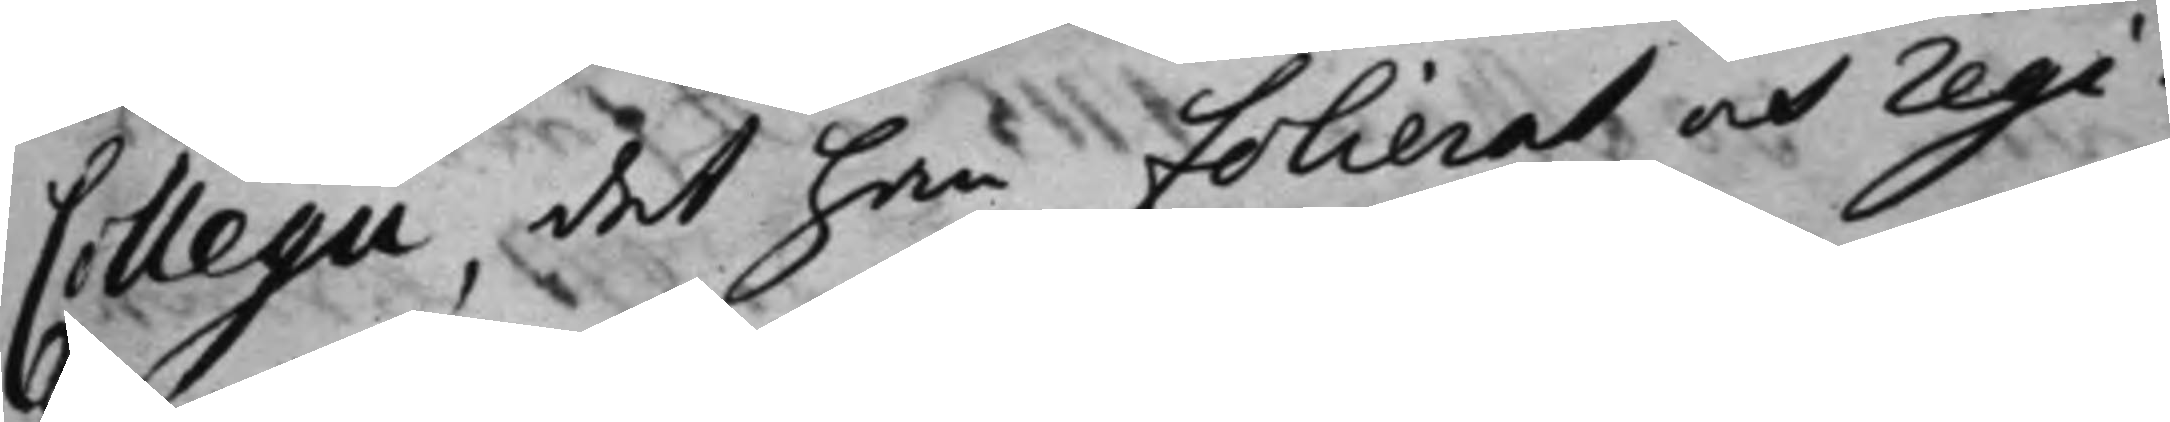Collegii, det han folierat och regi¬
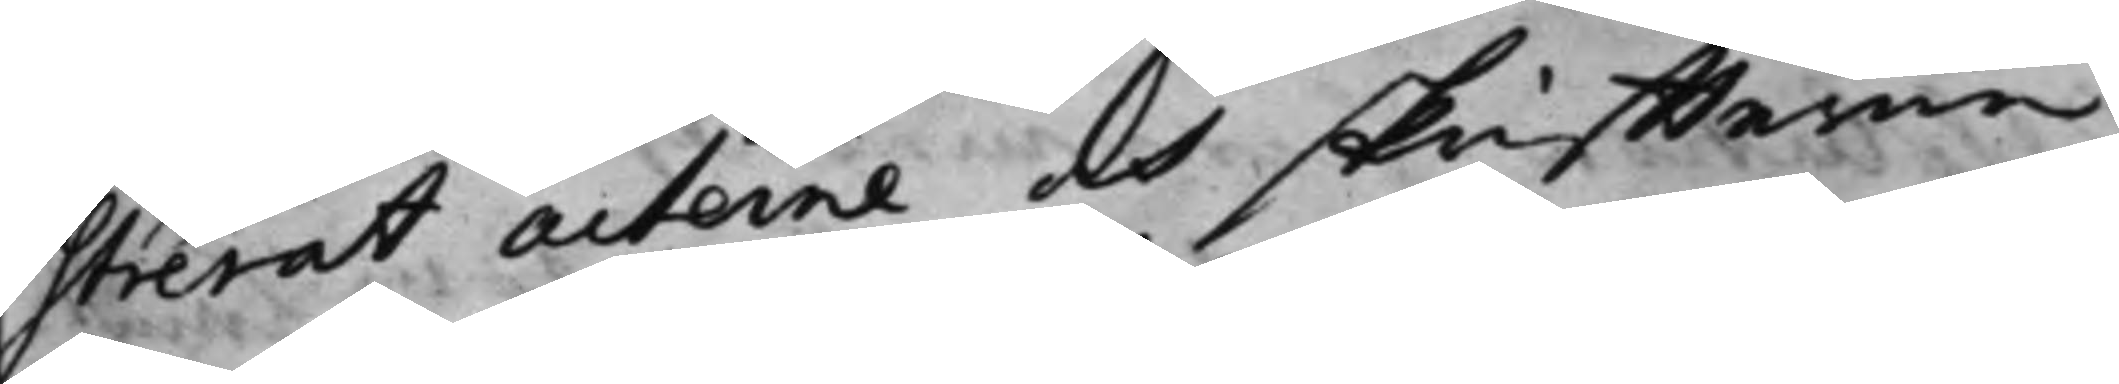strerat acterne och skriffterne
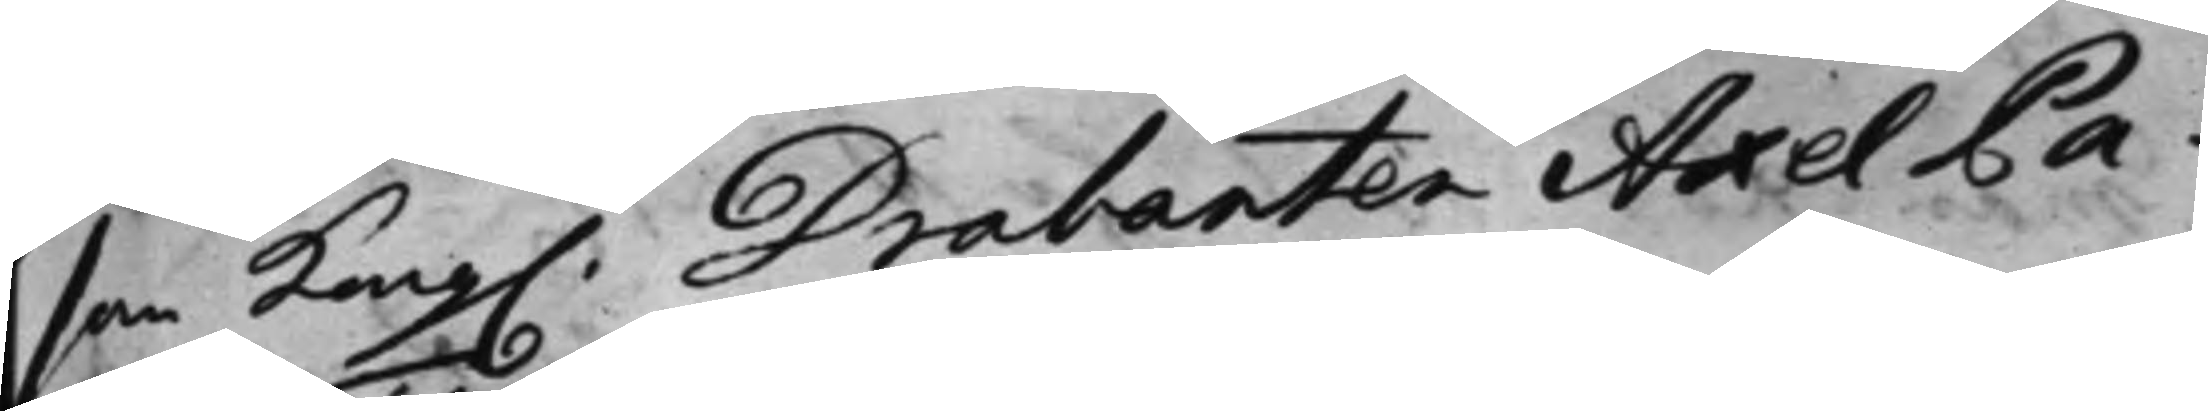som Kong. Drabanten Axel Pa¬
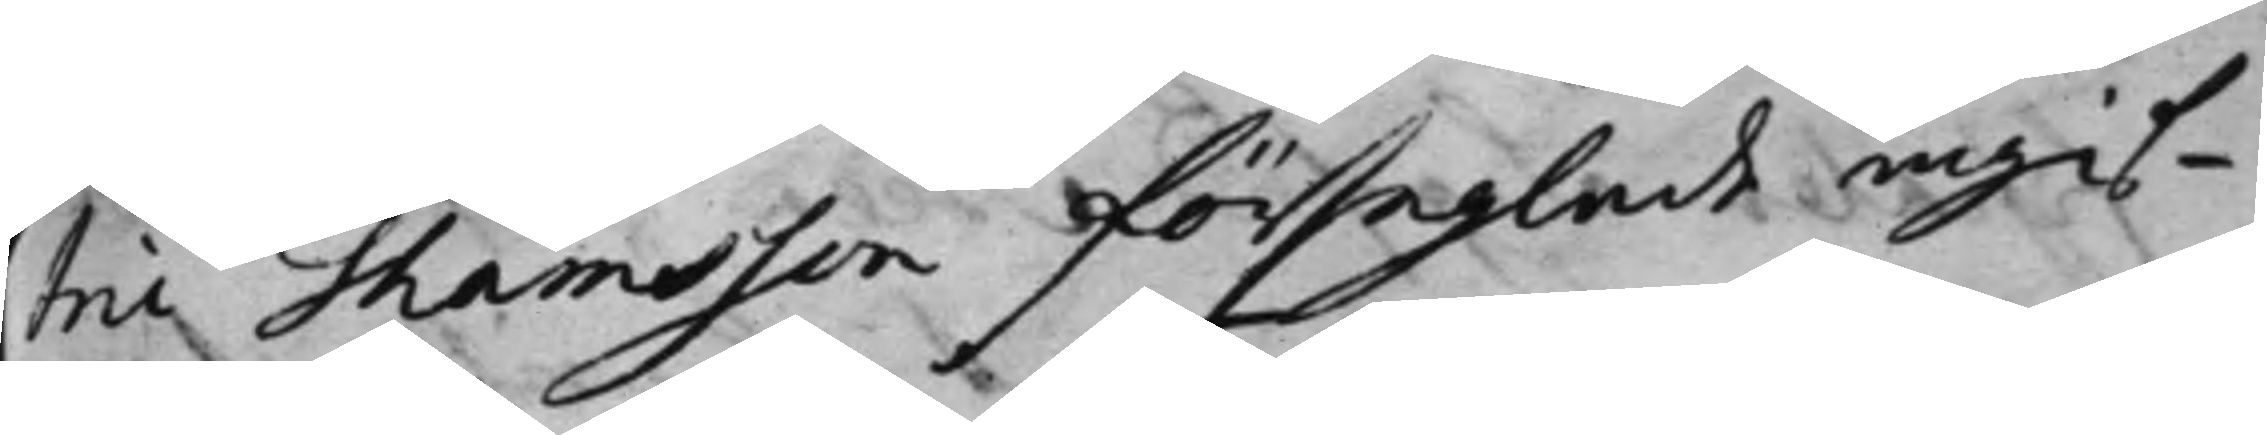tric Thåmsson förseglade ingif¬
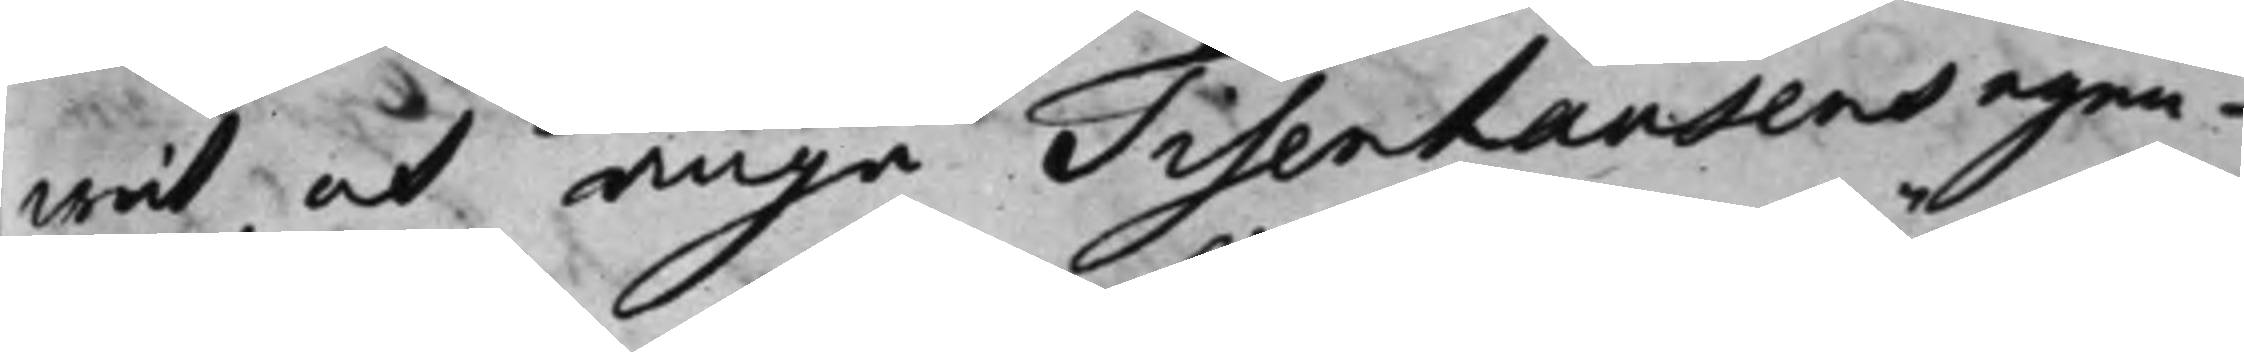wit, at unge Tisenhausens egen¬
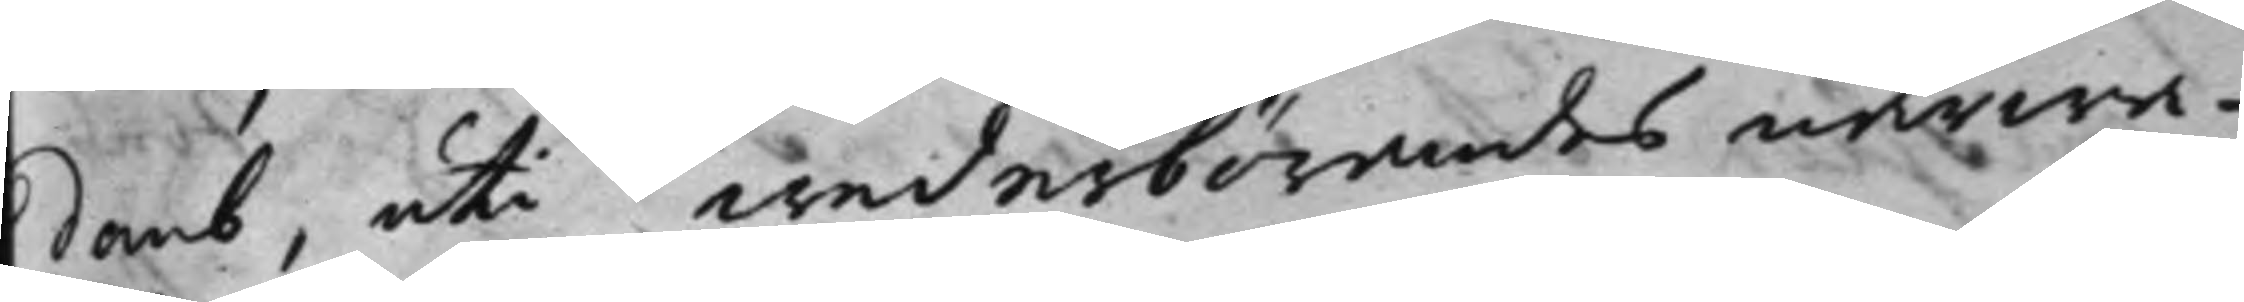domb, uti wederbörandes närwa¬
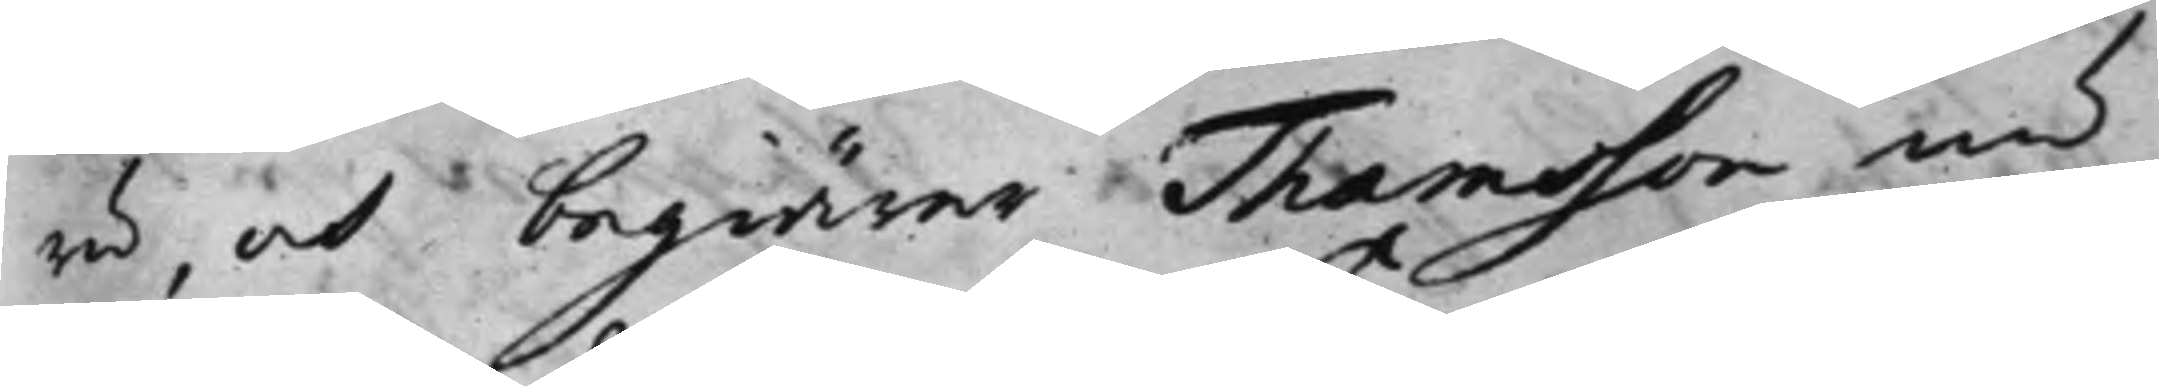ro, och begiäre Thomsson 
